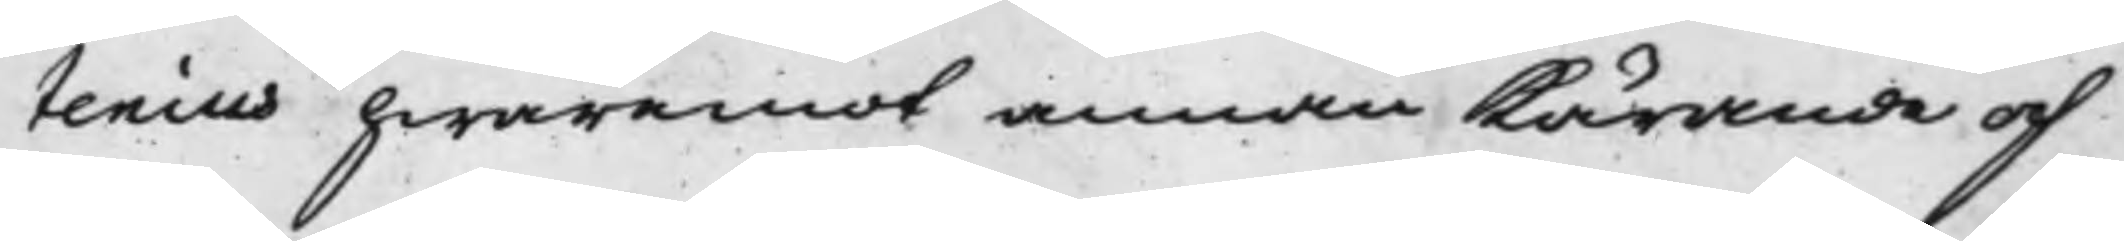tenius hwaremot annan Kärande och
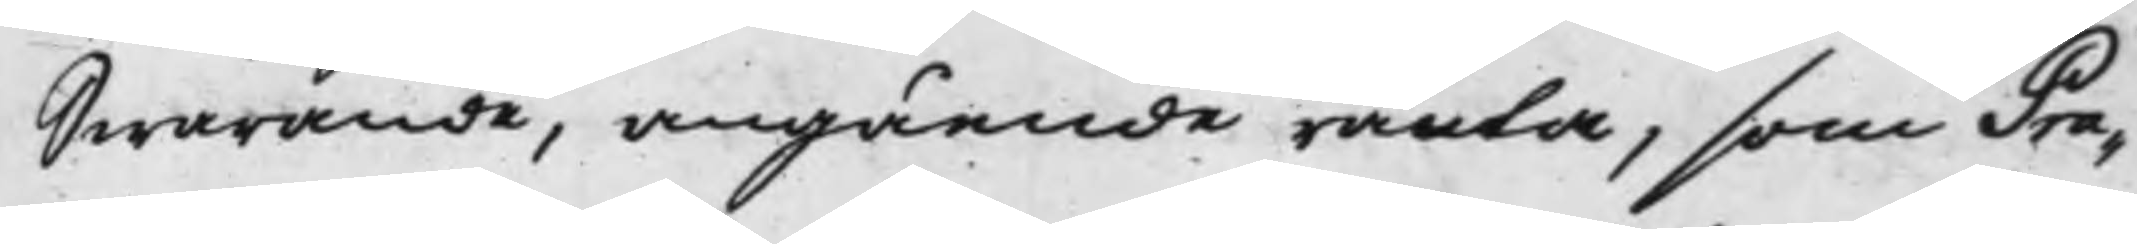Swarande, angående ränta, som Pra¬
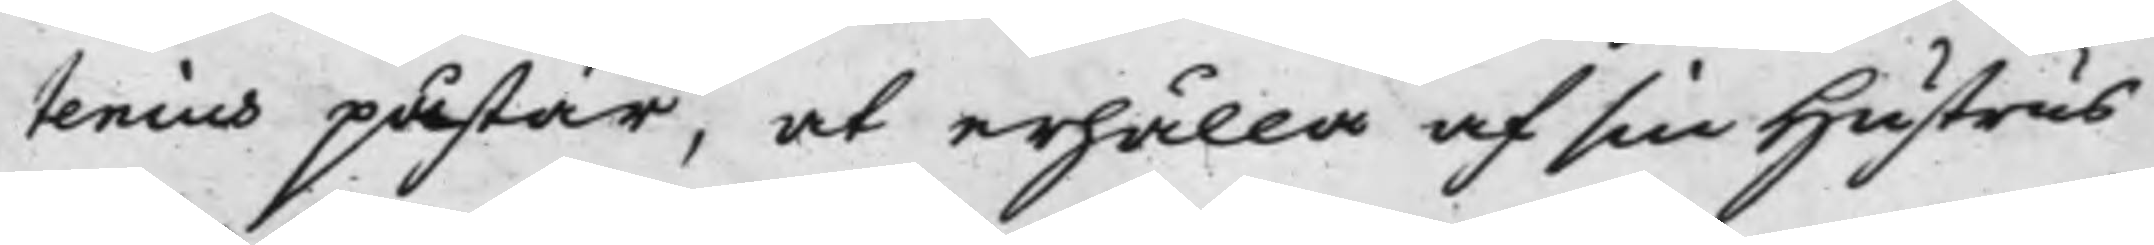tenius påstår, at erhålla af sin Hustrus
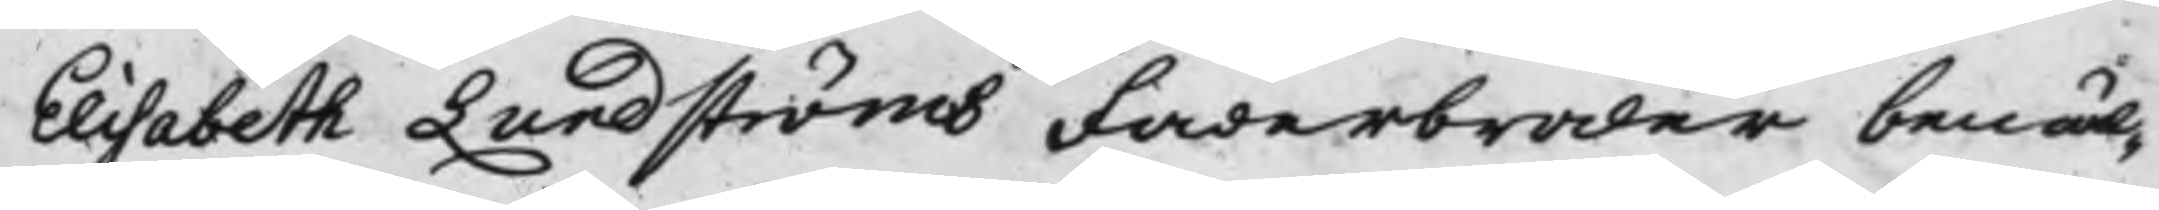Elisabeth Lundströms Faderbroder bemäl¬
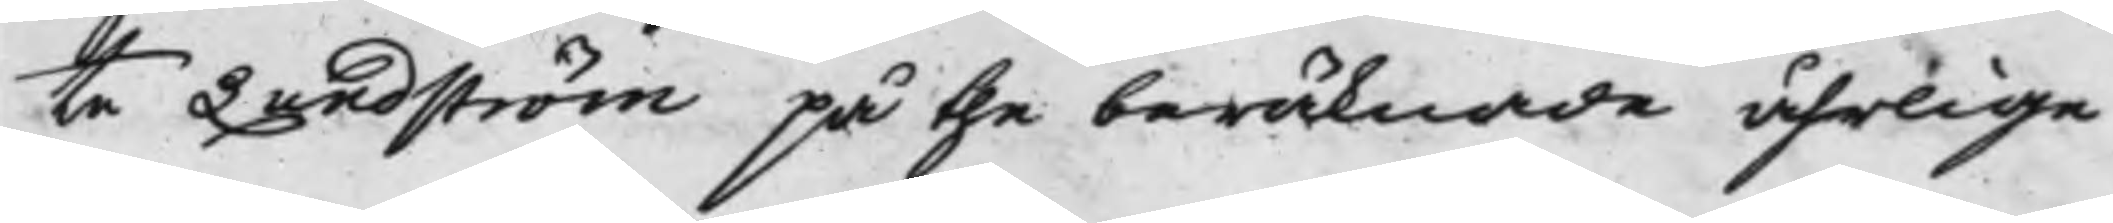te Lundström på the beräknade åhrlige
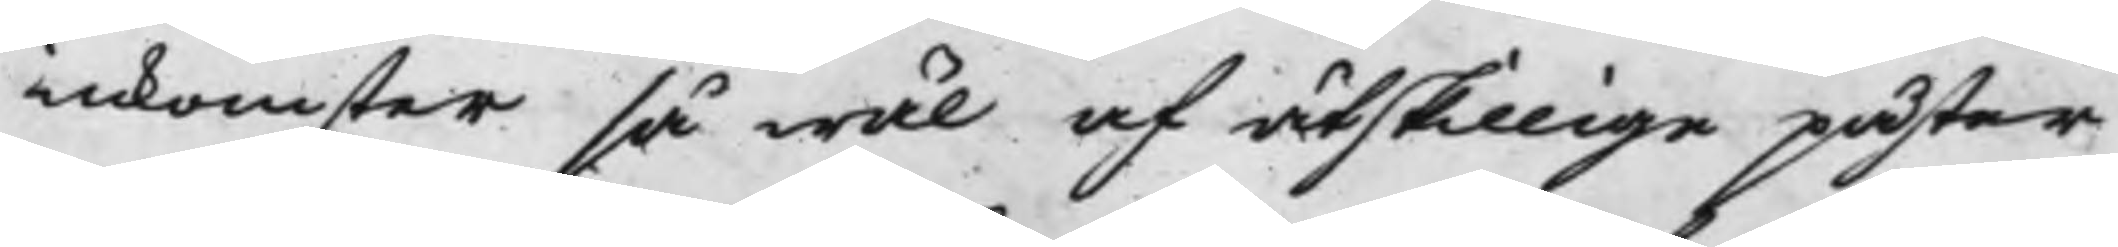inkomster så wäl af åtskillige påster
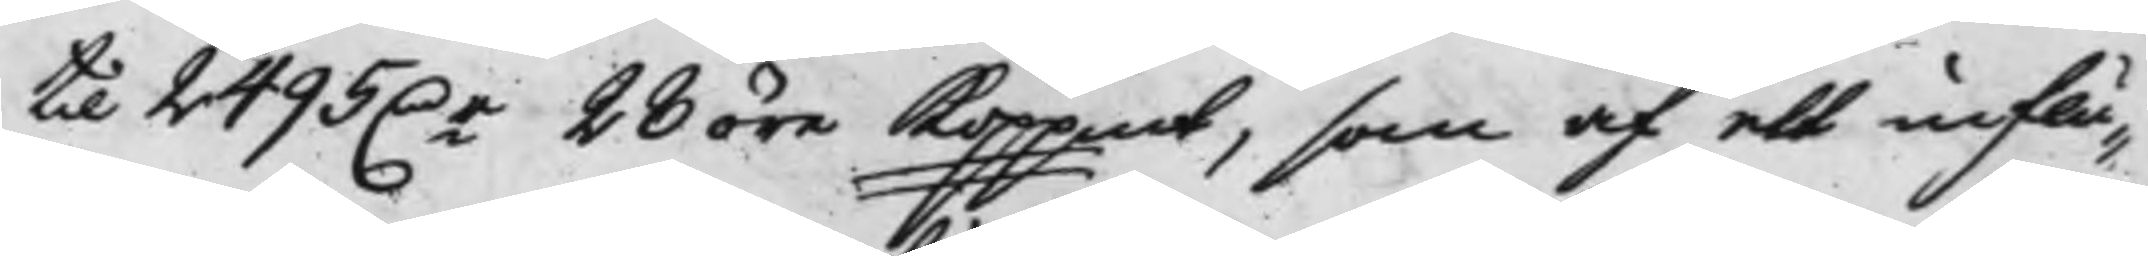till 2495 D.r 28 öre Koppmt, som af ett influ¬
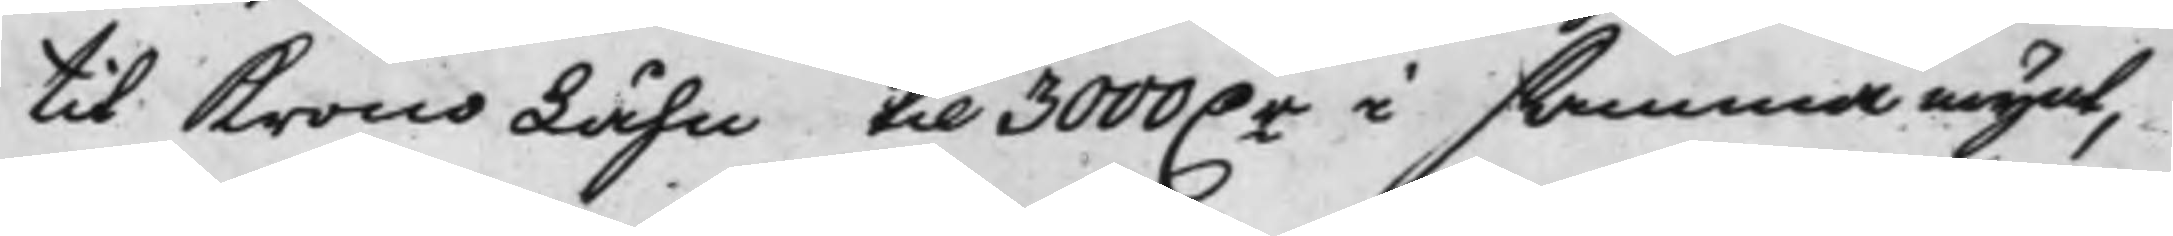til KronoLåhn til 3000 D.r i samma mynt,
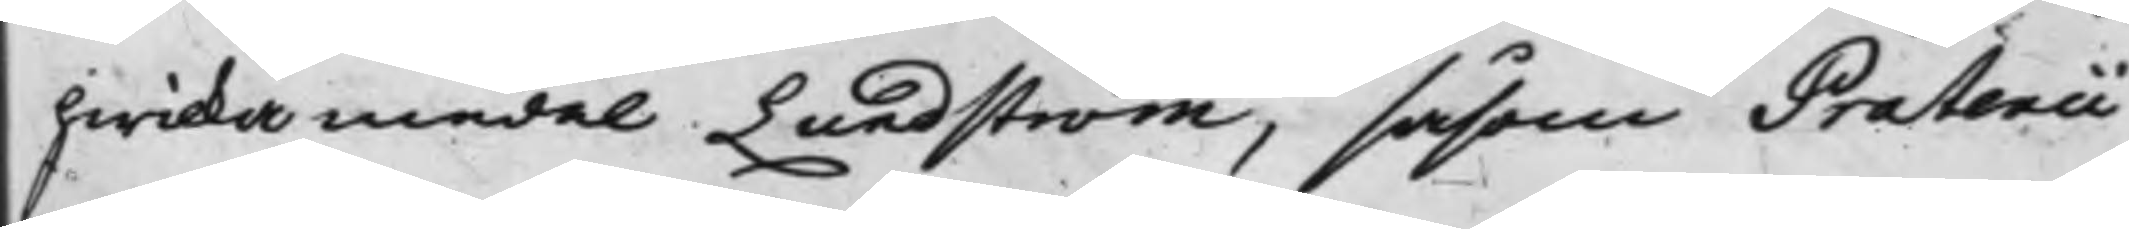hwilka medel Lundström, såsom Pratenii
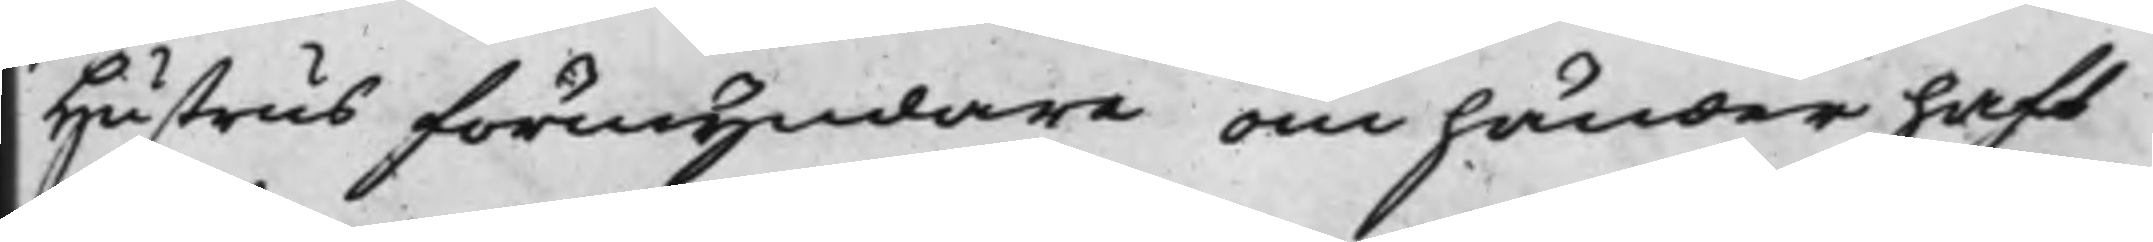Hustrus förmyndare om händer haft
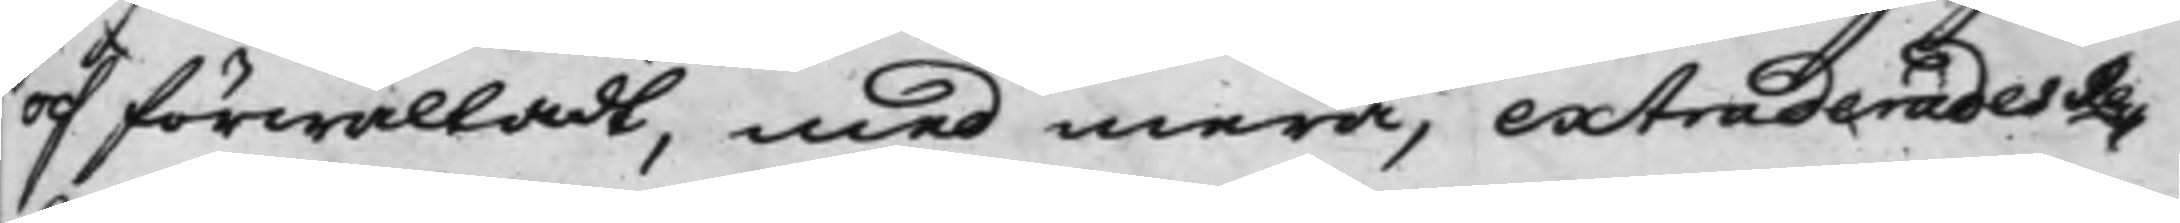och förwaltadt, med mera, extraderades Re¬
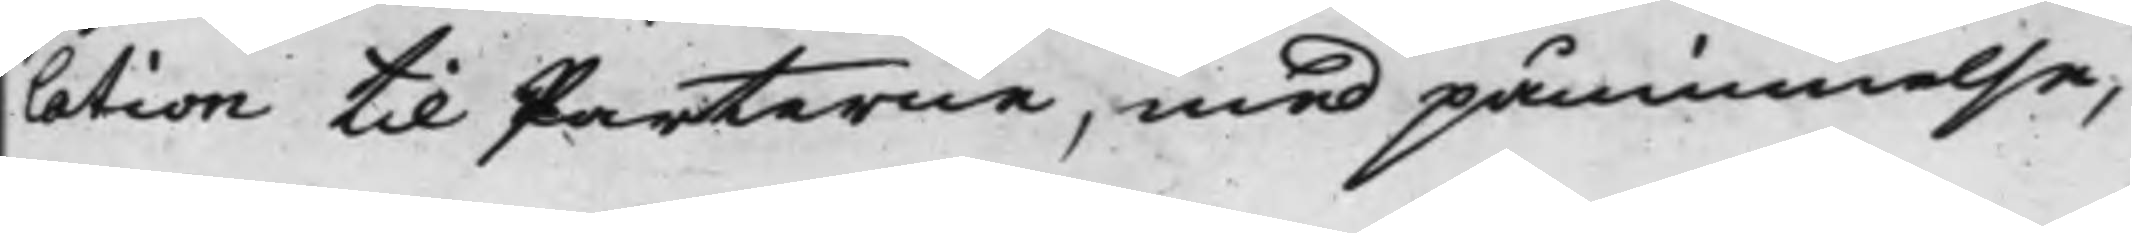lation til Parterne, med påminnelse,
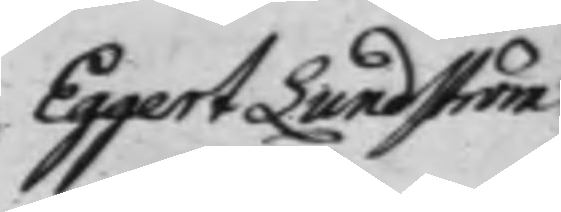Eggert Lundström
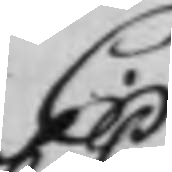C.
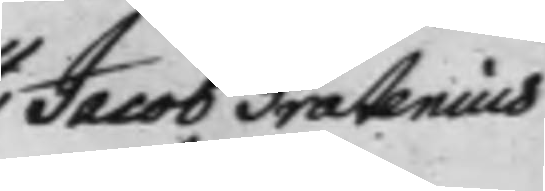Jacob Pratenius
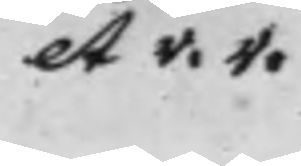et v. v.
